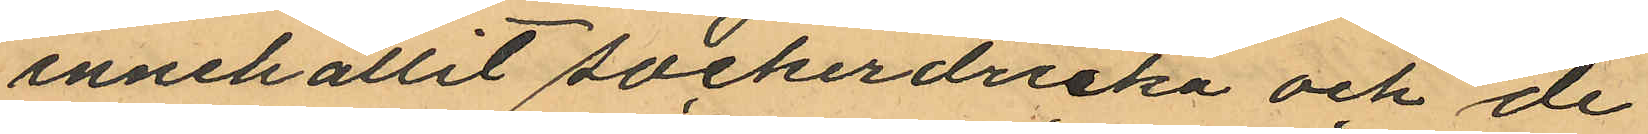innehållit sockerdricka och de
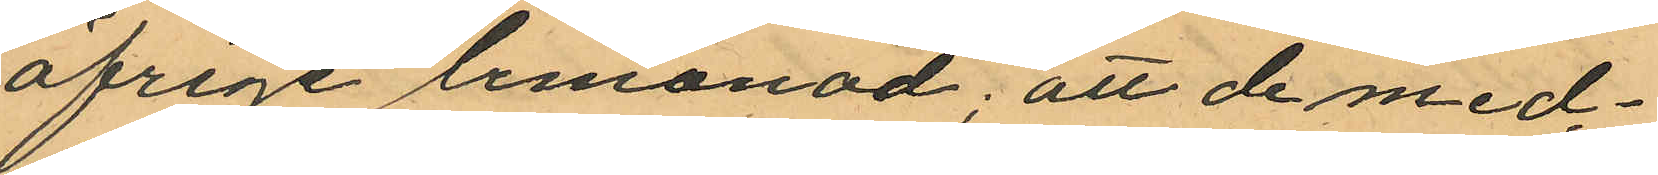öfrige lemonad; att de med¬
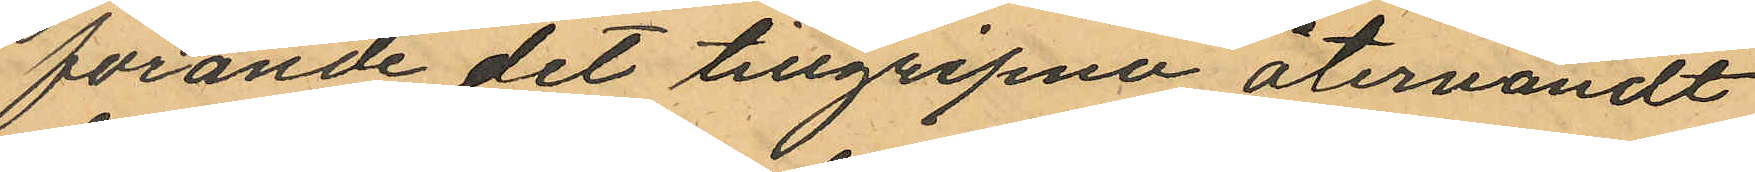förande det tillgripna återvändt
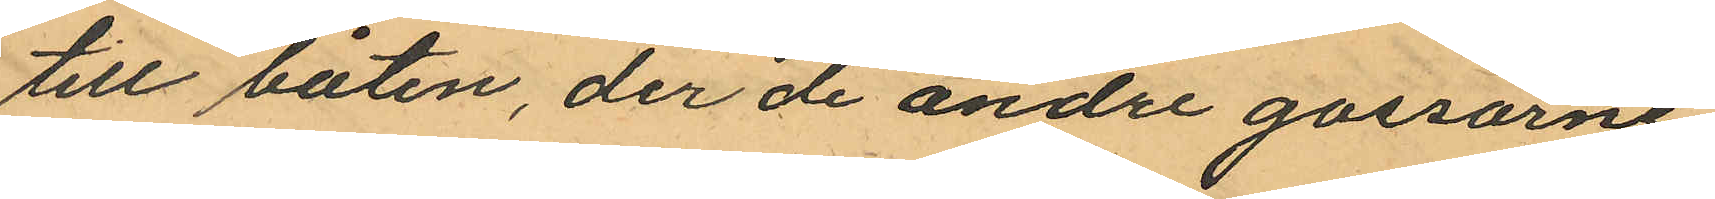till båten, der de andre gossarne
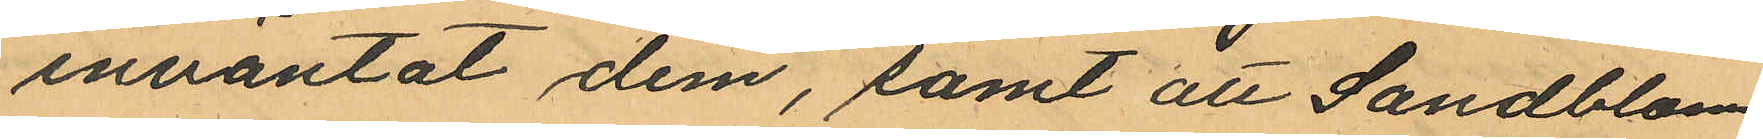inväntat dem, samt att Sandblom
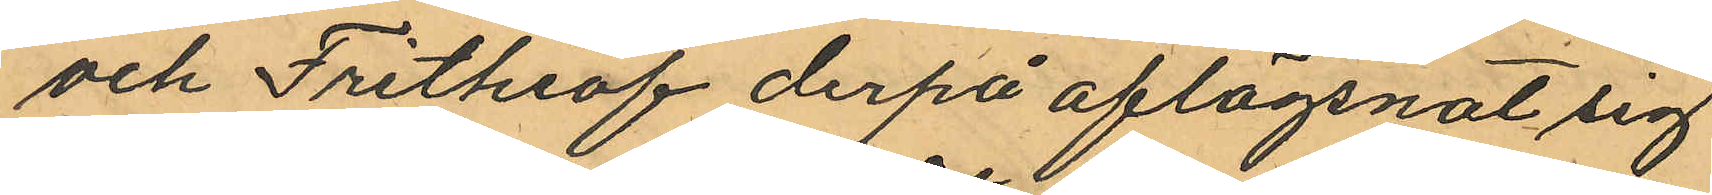och Frithiof derpå aflägsnat sig
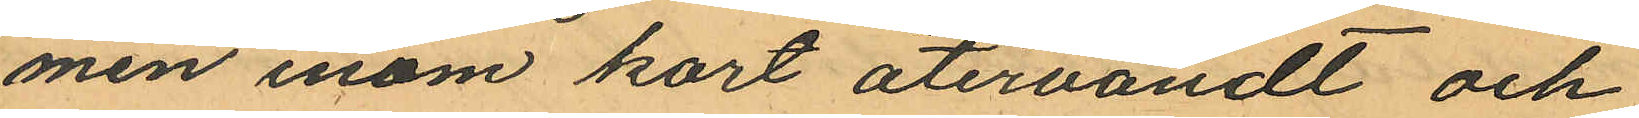men inom kort återvändt och
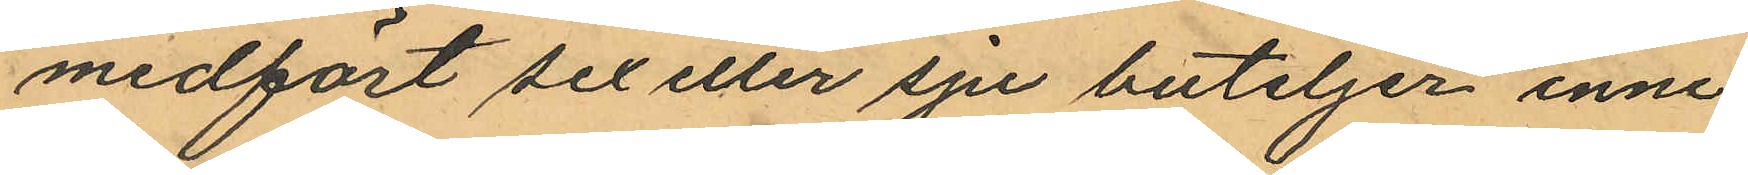medfört sex eller sju buteljer inne
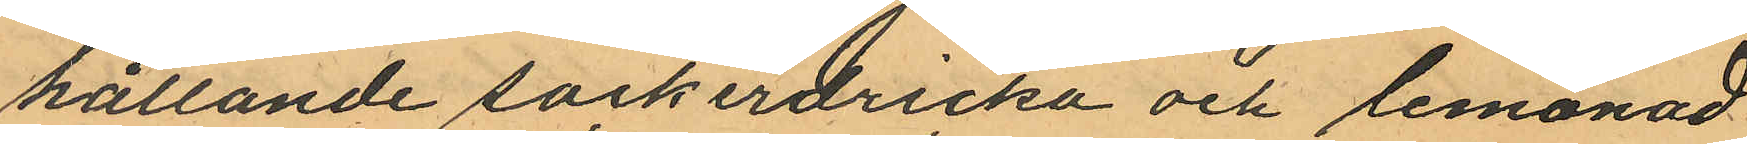hållande sockerdricka och lemonad
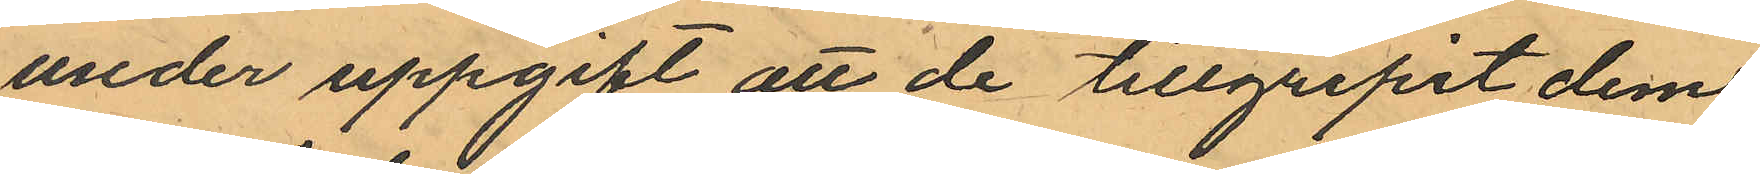under uppgift att de tillgripit dem
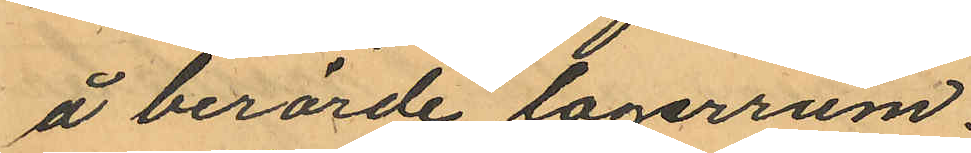å berörde lagerrum.
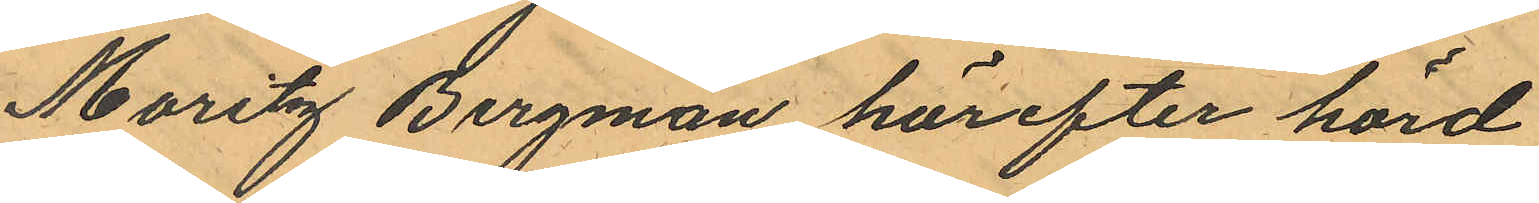Maritz Bergman härefter hörd
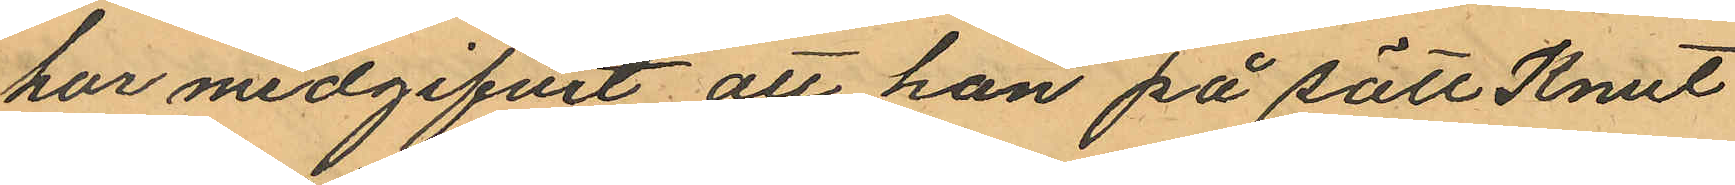hur medgifvit att han på sätt Knut
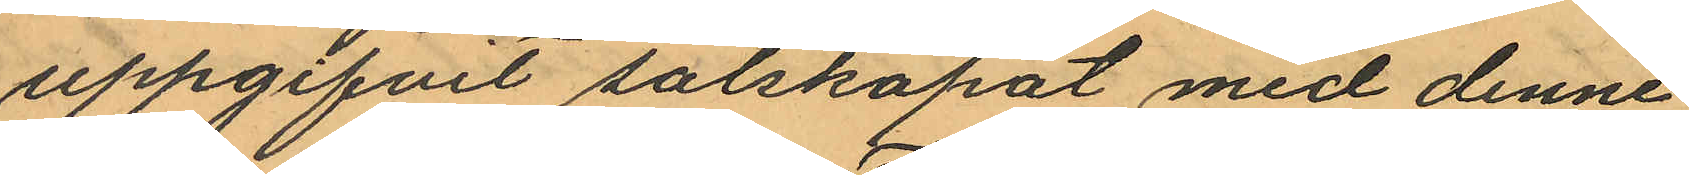uppgifvit sälskapat med denne
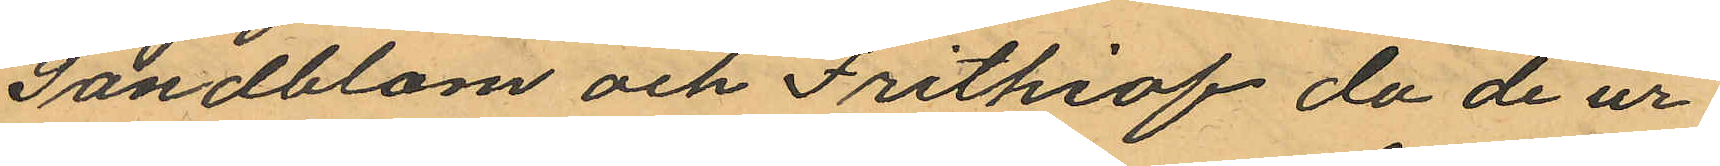Sandblom och Frithiof då de ur
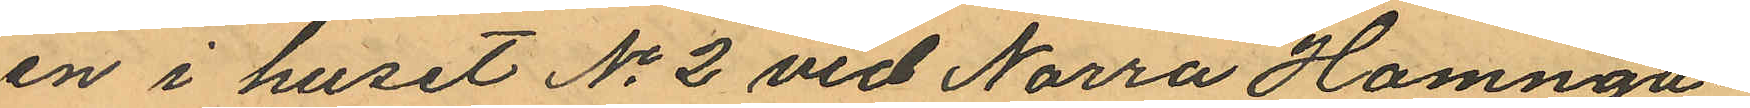en i huset No 2 vid Norra Hamnga¬
